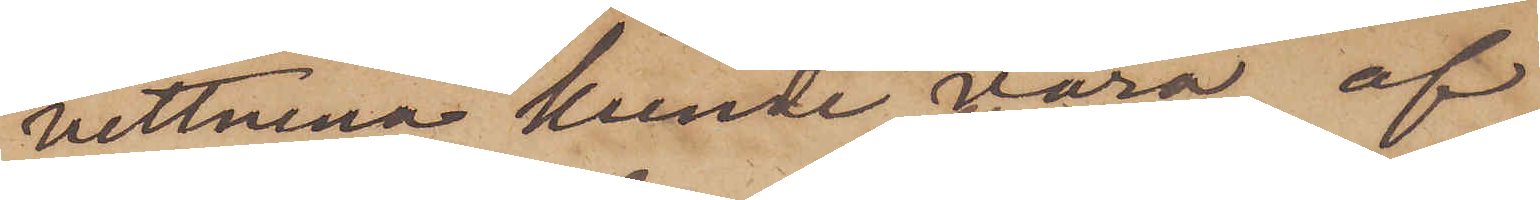vittnena kunde vara af
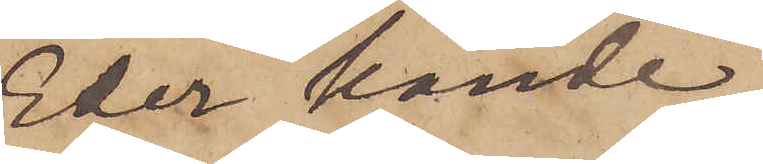Eder kände,
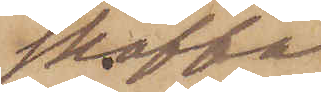skaffa
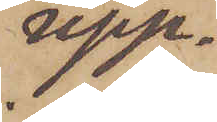upp¬
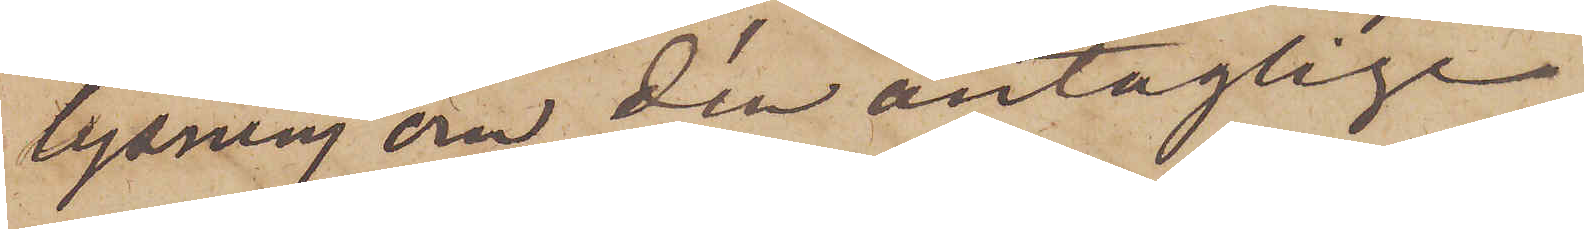lysning om den antaglige
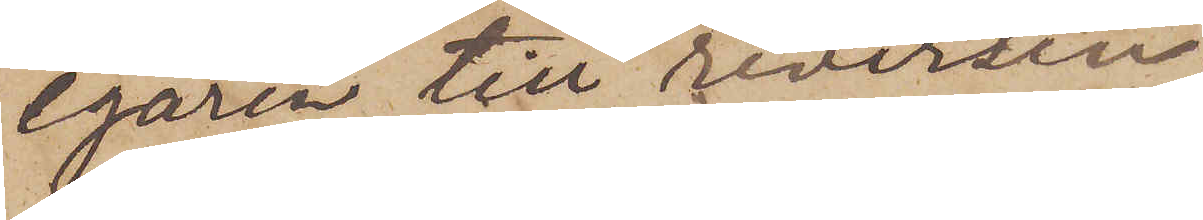egaren till reversen;
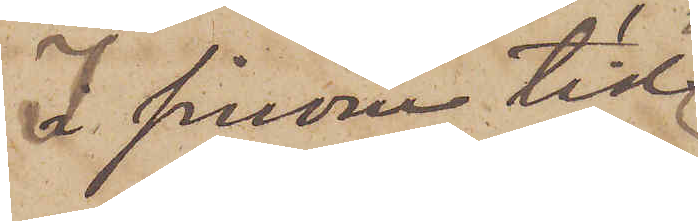I sinom tid
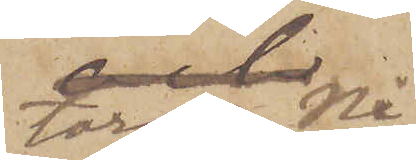torde Ni
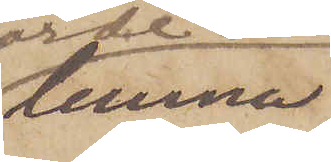lemna
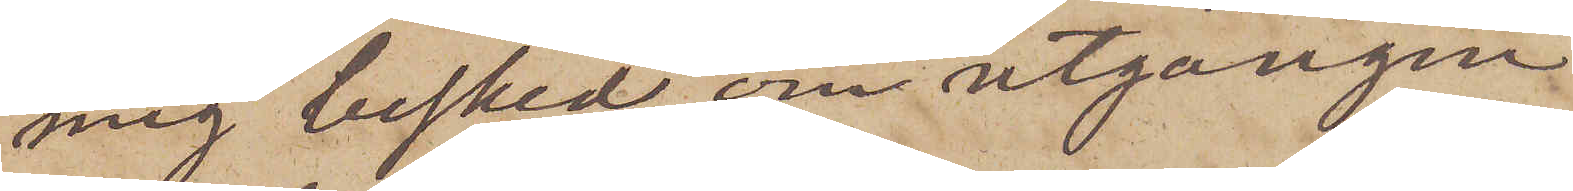mig besked om utgången
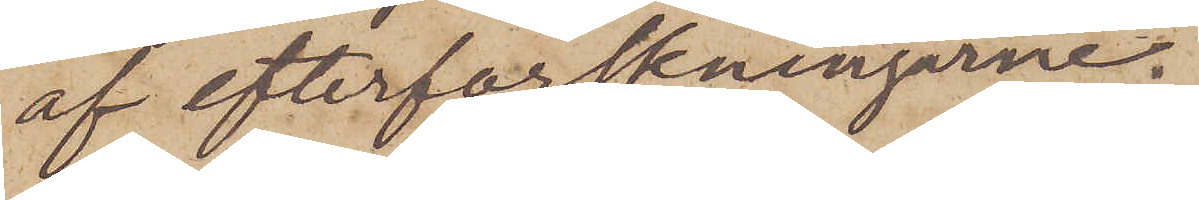af efterforskningarne.
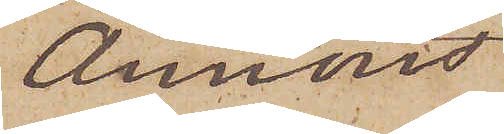Annons
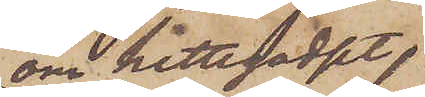om hittegodset,
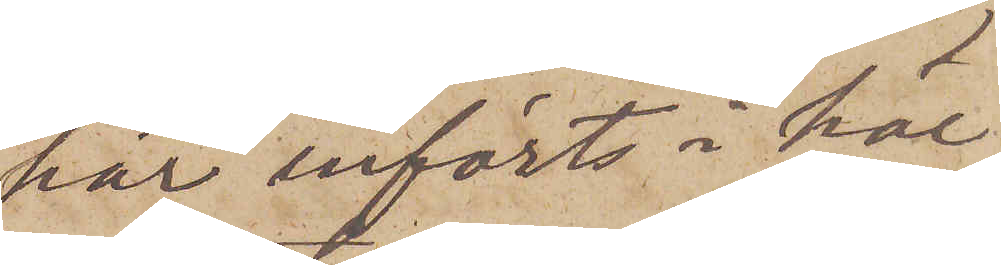har införts i här
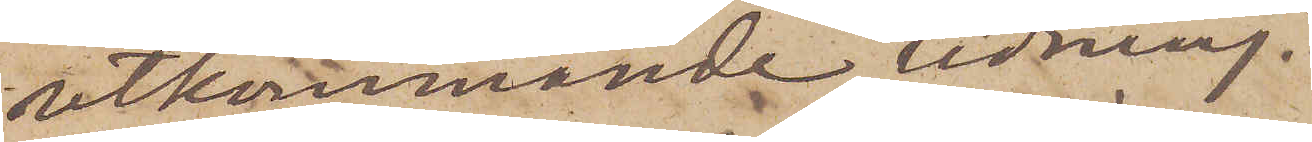utkommande tidning.
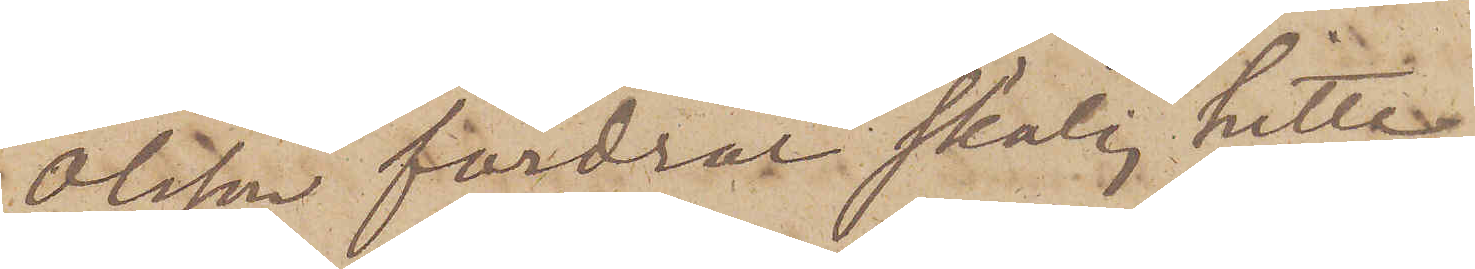Olsson fordrar skälig hitte¬
